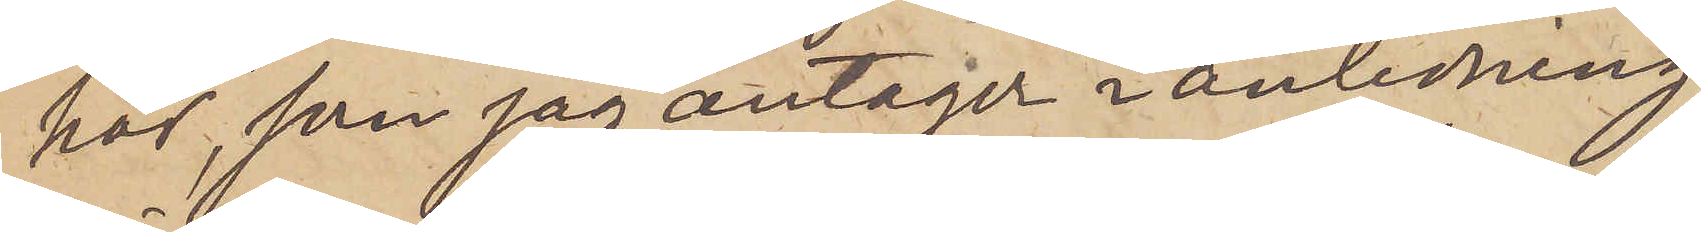hör, som jag antager i anledning
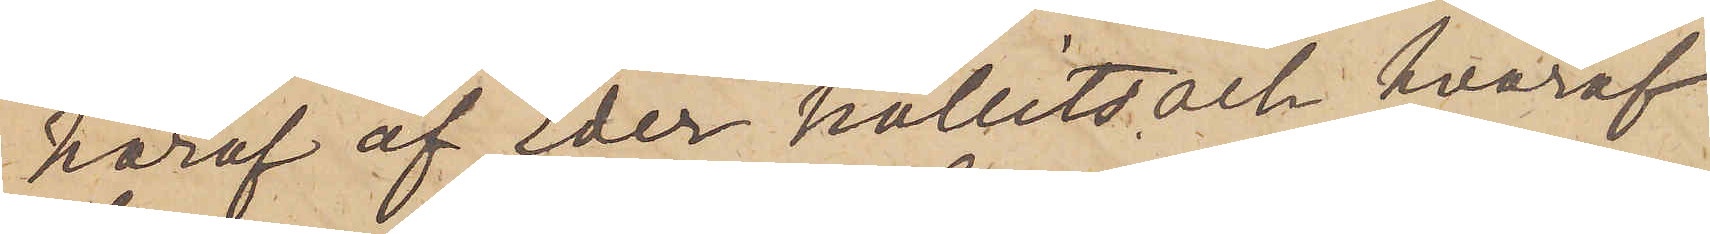häraf af Eder hållits och hvaraf
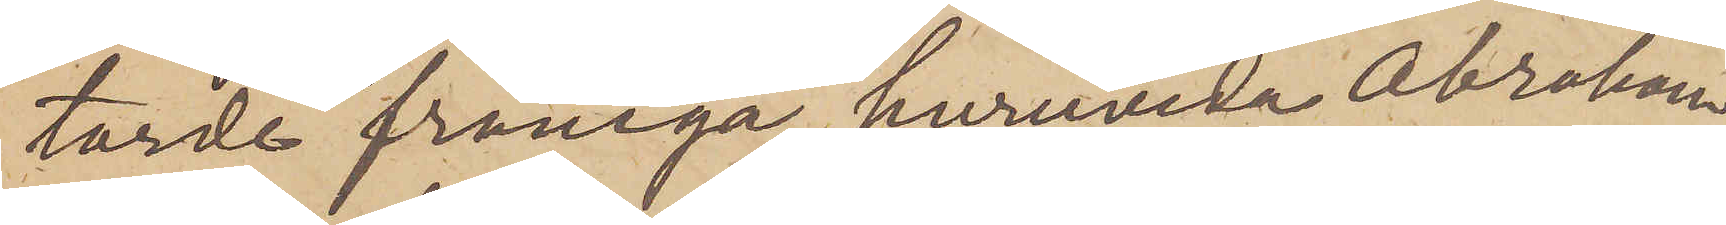torde framgå, huruvida Abraham
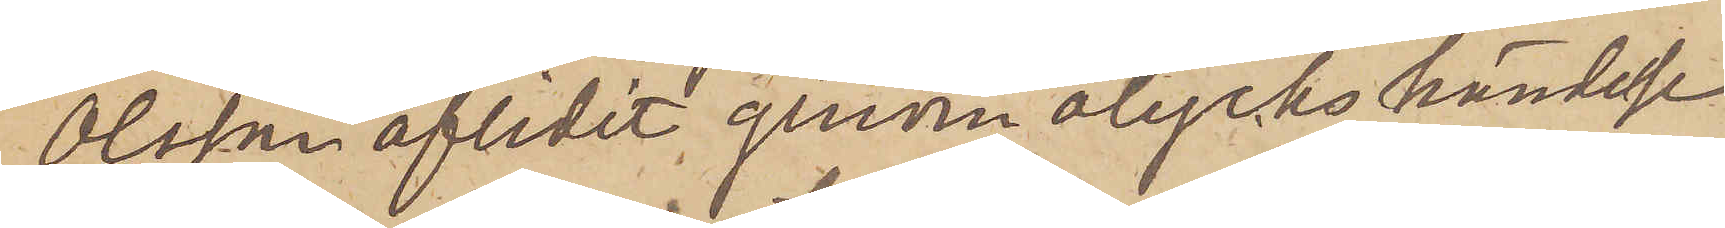Olsson aflidit genom olyckshändelse
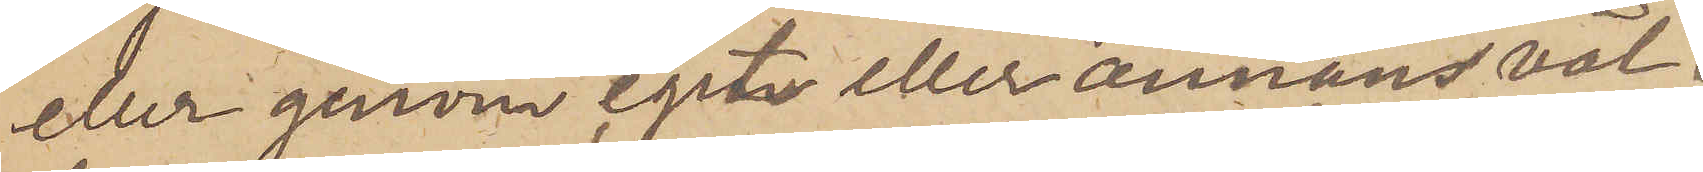eller genom egeta eller annans vål¬
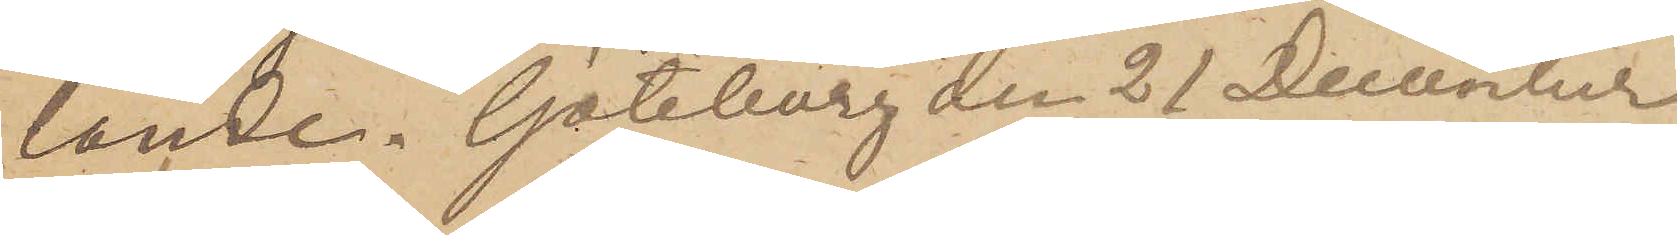lande. Göteborg den 21 December
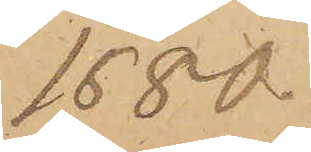1880.
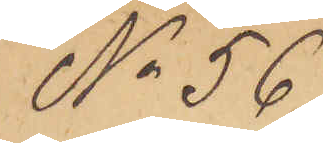No 56
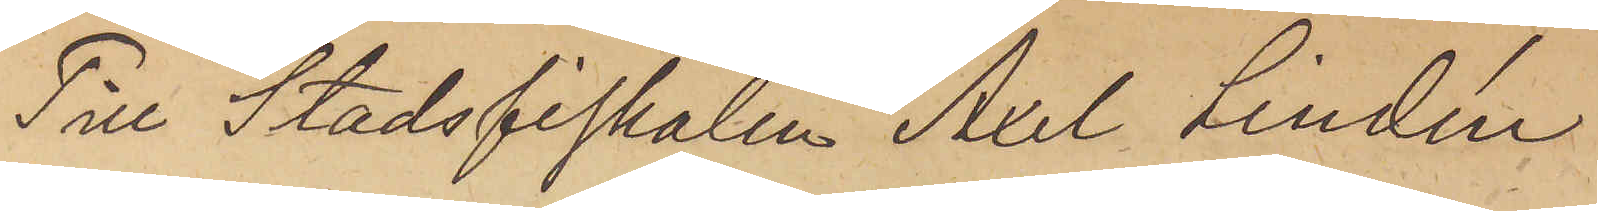Till Stadsfiskalen Axel Lindén
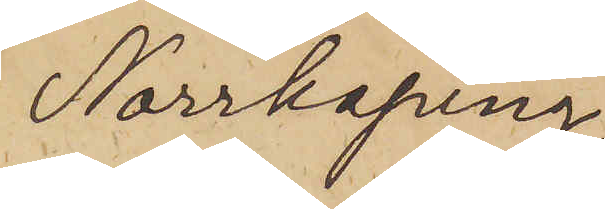Norrköping
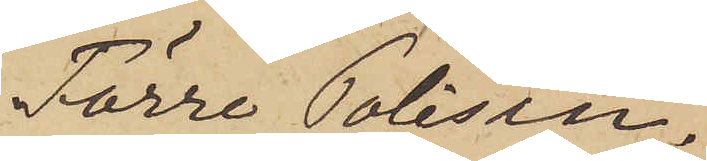Förre Polisin¬
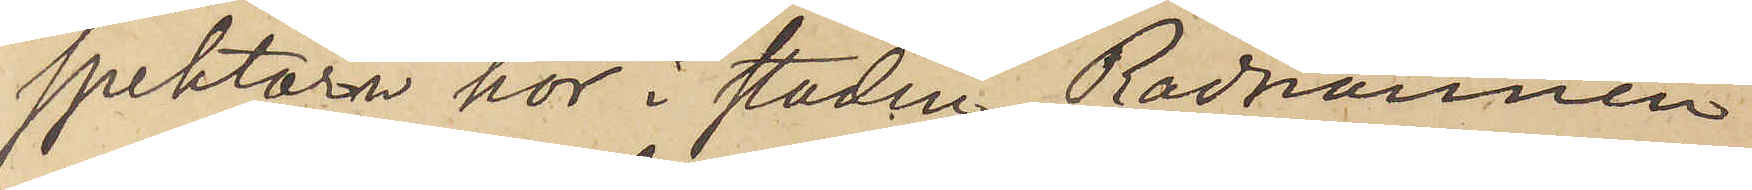spektorn här i staden, Rådmannen
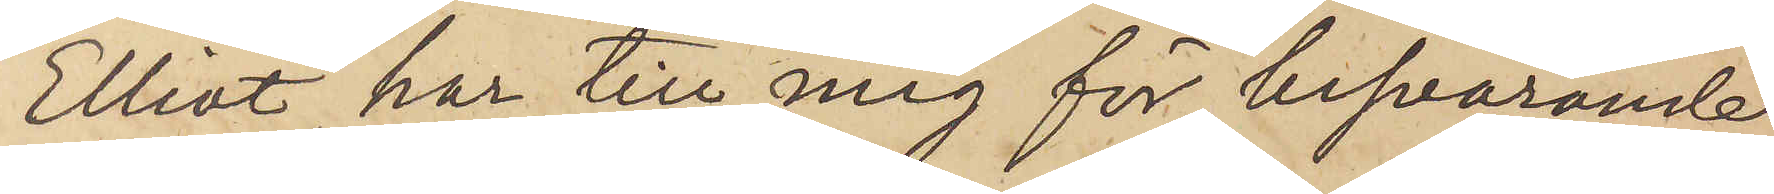Elliot, har till mig för besvarande
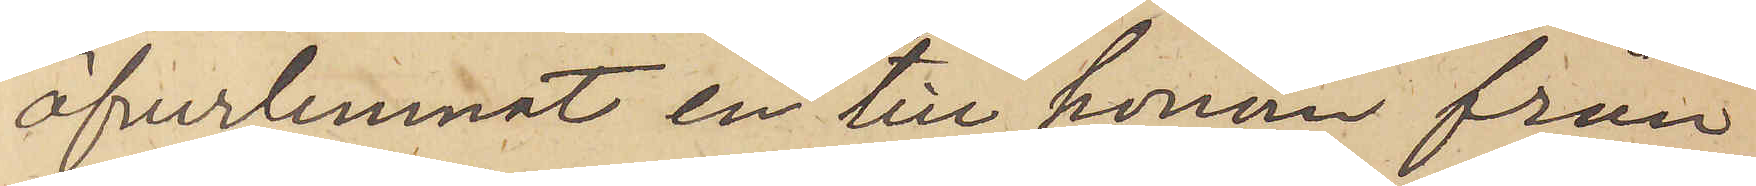öfverlemnat en till honom från
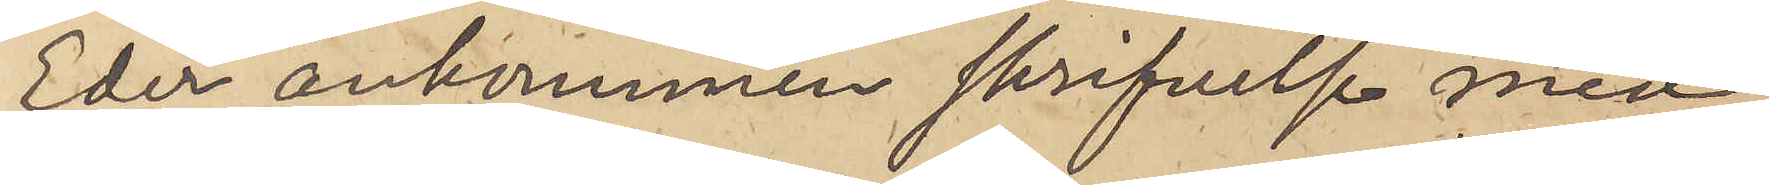Eder ankommen skrifvelse med
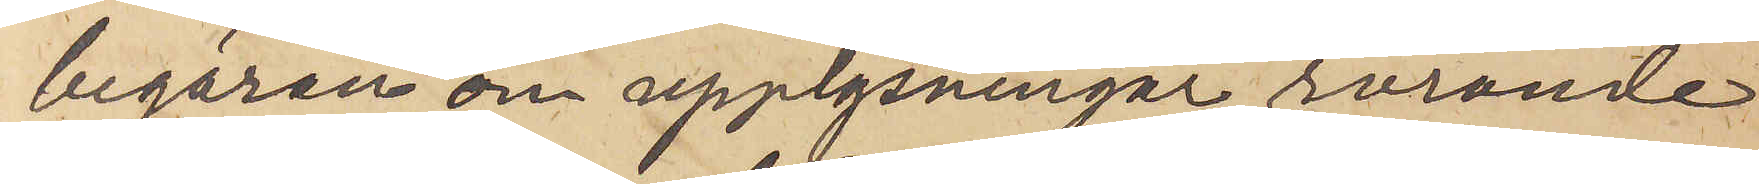begäran om upplysningar rörande
